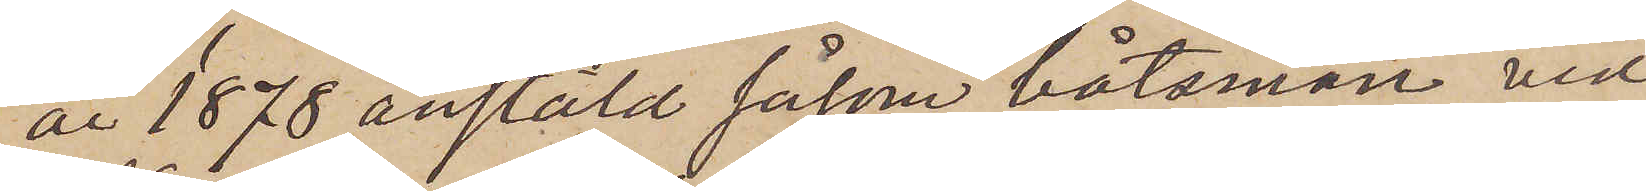år 1878 anstäld såsom båtsman vid
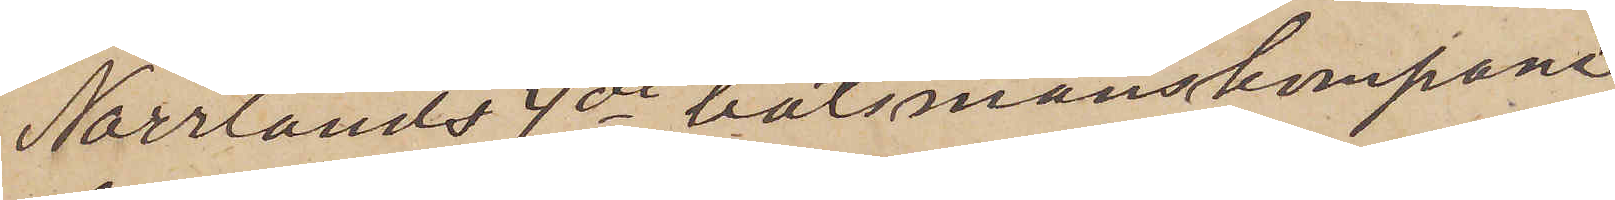Norrlands 4de båtsmanskompani,
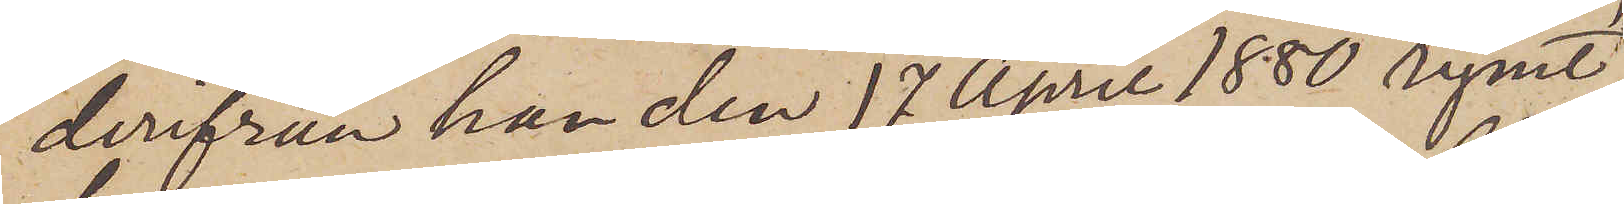derifrån han den 17 April 1880 rymt,
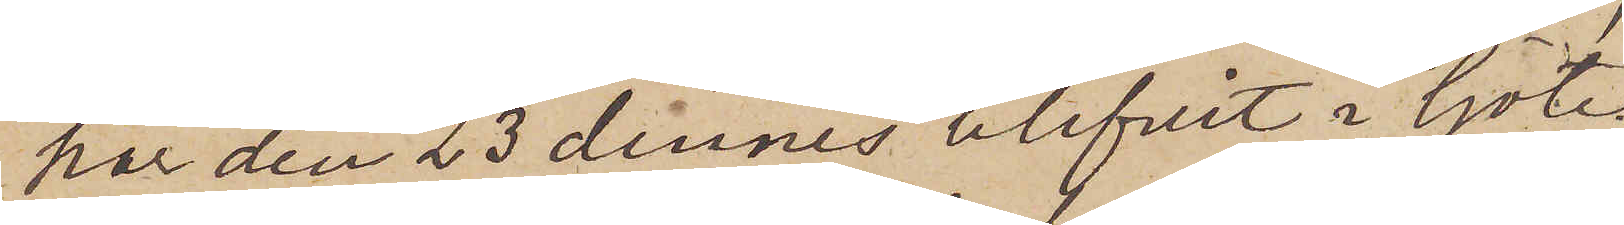har den 23 dennes blifvit i Göte¬
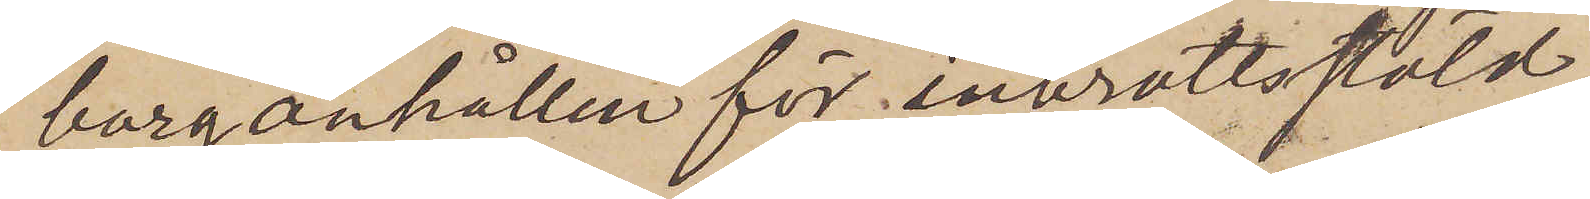borg anhållen för inbrottsstöld.
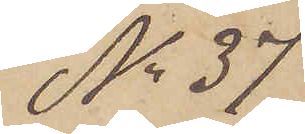No 37
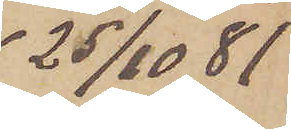25/10  81
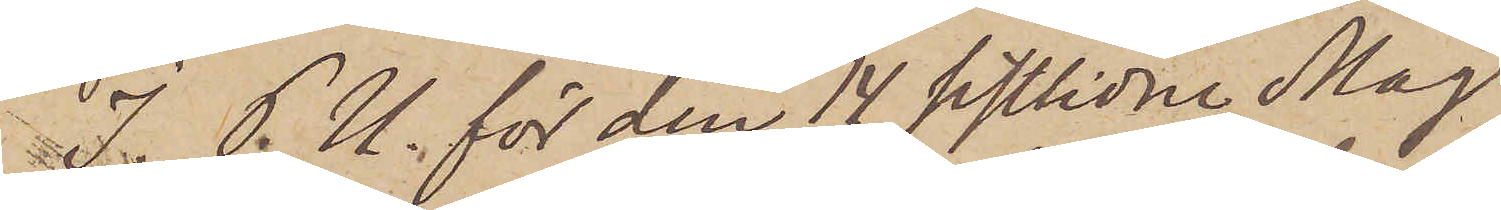I. P. U. för den 14 sistlidne Maj
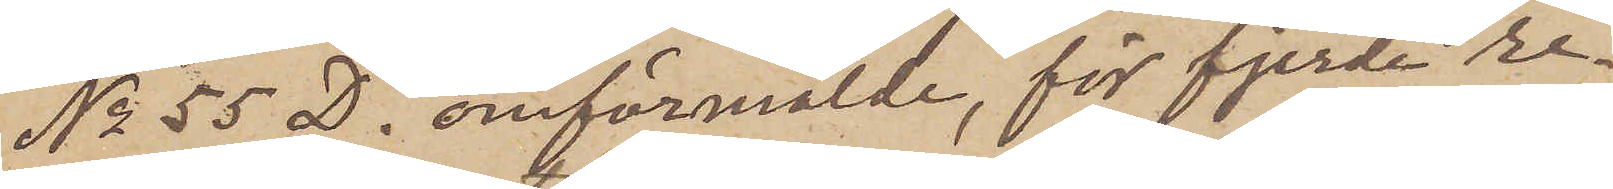No 55 D. omförmälde för fjerde re¬
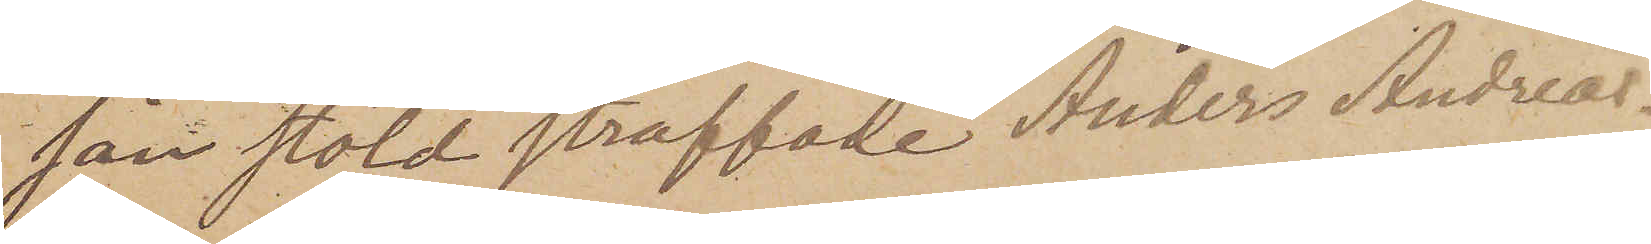san stöld straffade Anders Andreas¬
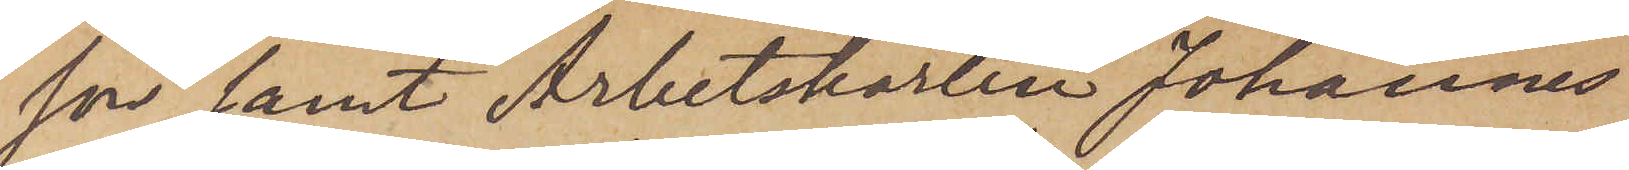son samt Arbetskarlen Johannes
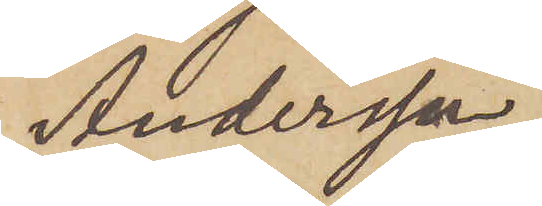Andersson
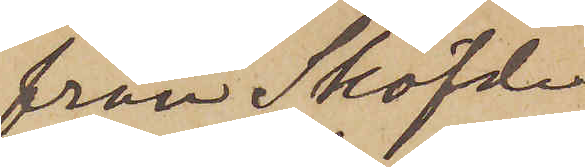från Sköfde
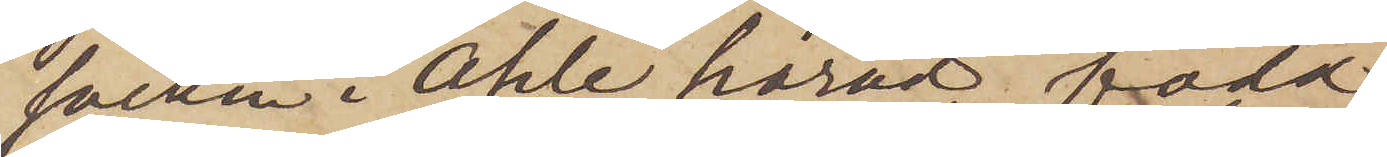socken i Ahle härad född
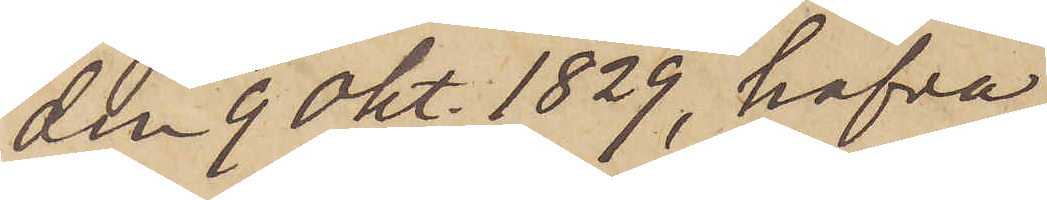den 9 Okt. 1829, hafva
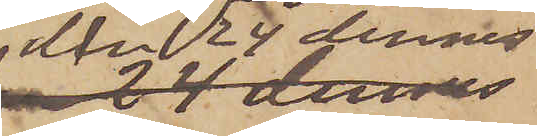den 24 dennes
